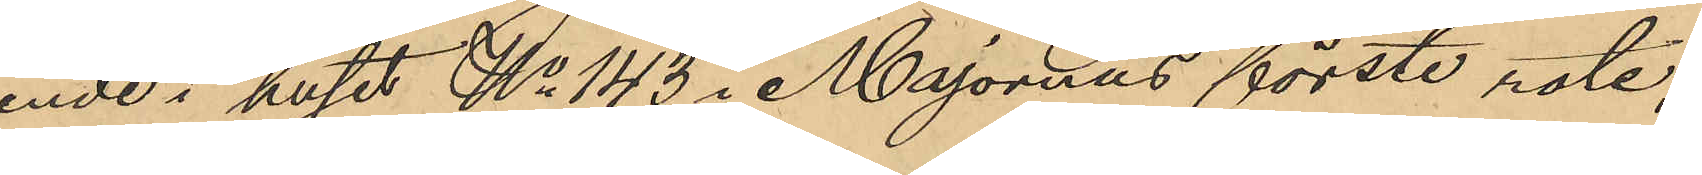ende i huset No 143 i Majornas förste rote,
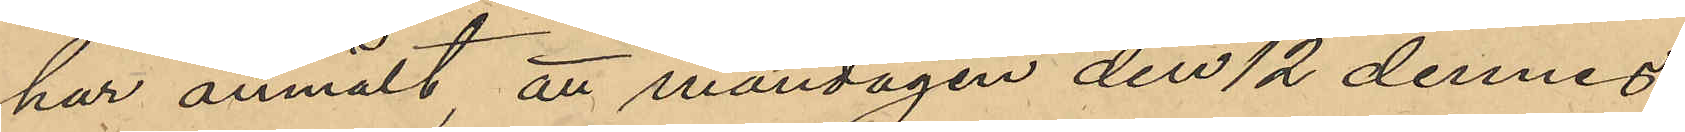har anmält att måndagen den 12 dennes
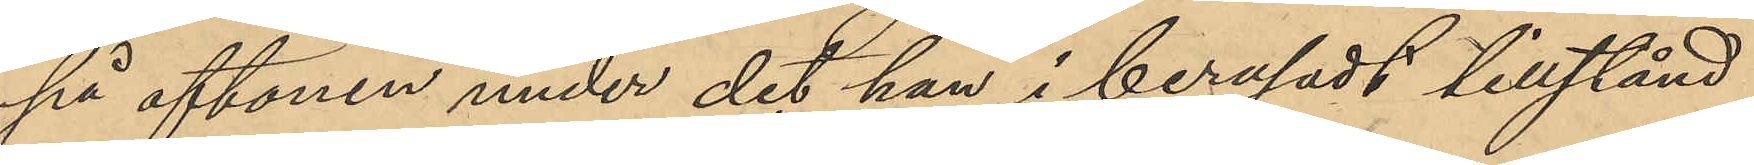på aftonen under det han i berusadt tillstånd
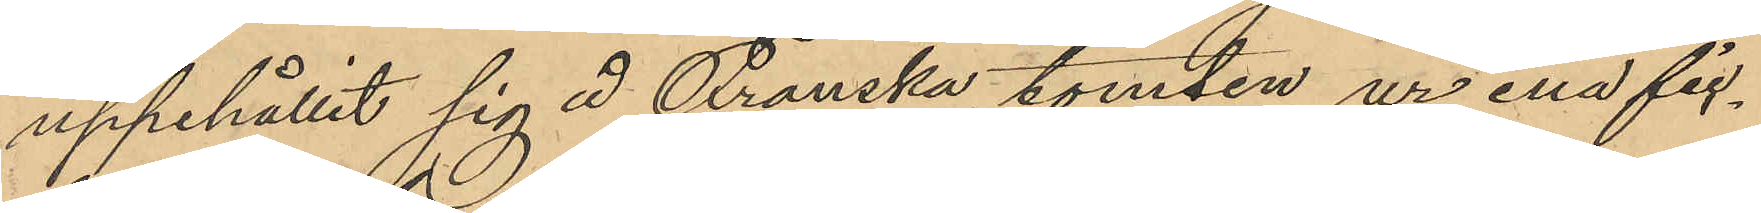uppehållit sig å Franska tomten ur ena fic¬
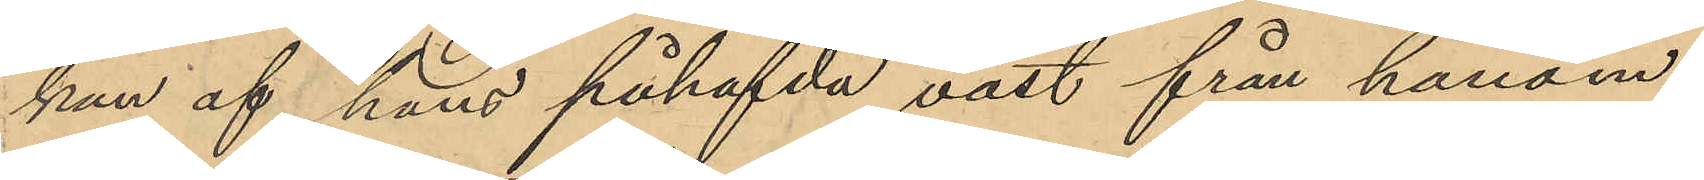kan af hans påhafvda väst från honom
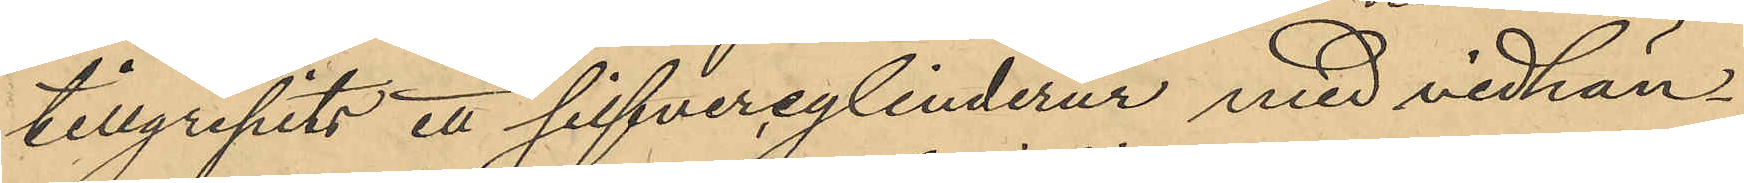tillgripits ett silfvercylinderur med vidhän¬
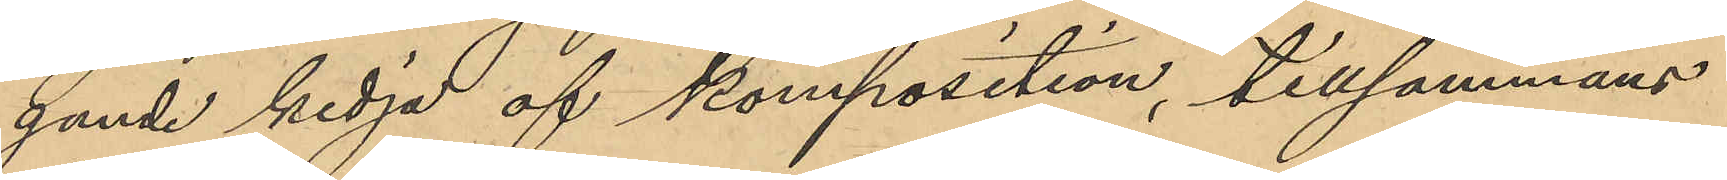gande kedja af komposition, tillsammans
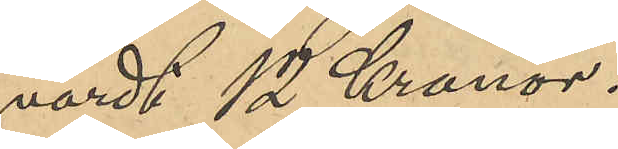värdt 12 Kronor.
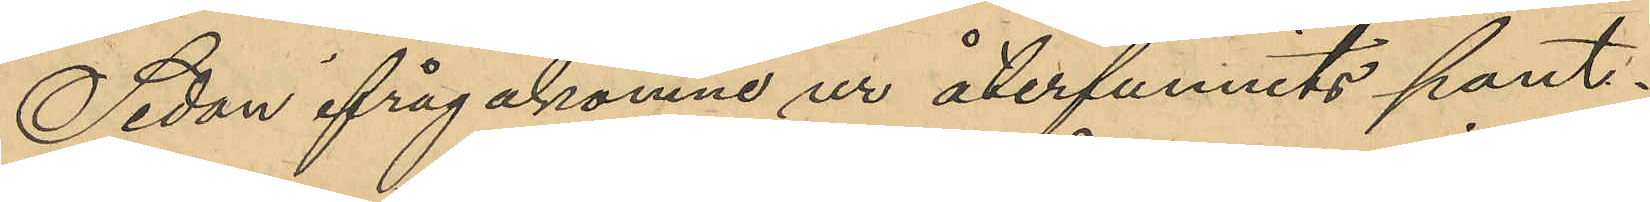Sedan ifrågakomne ur återfunnits pant¬
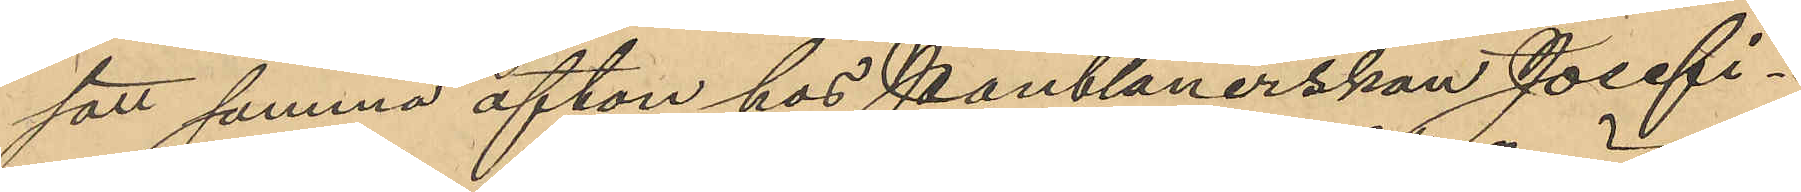satt samma afton hos Pantlånerskan Josefi¬
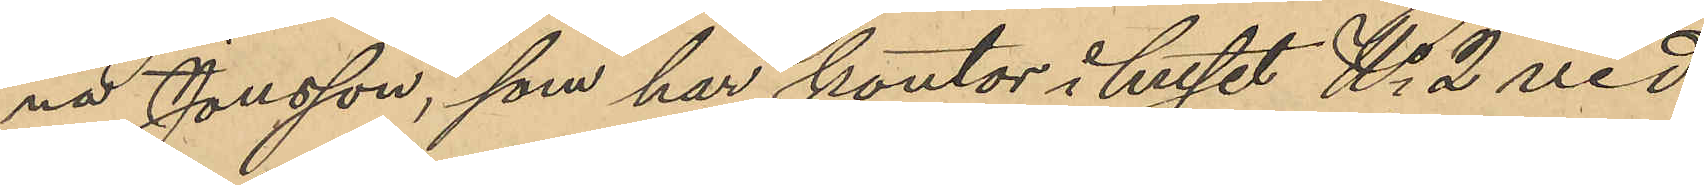na Jonsson, som har kontor i huset No 2 vid
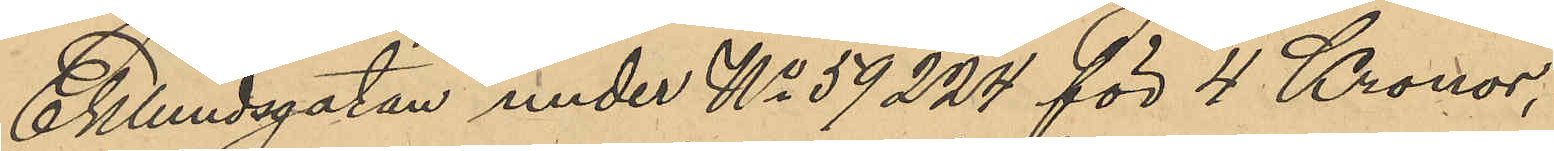Eklundsgatan under No 59224 för 4 Kronor,
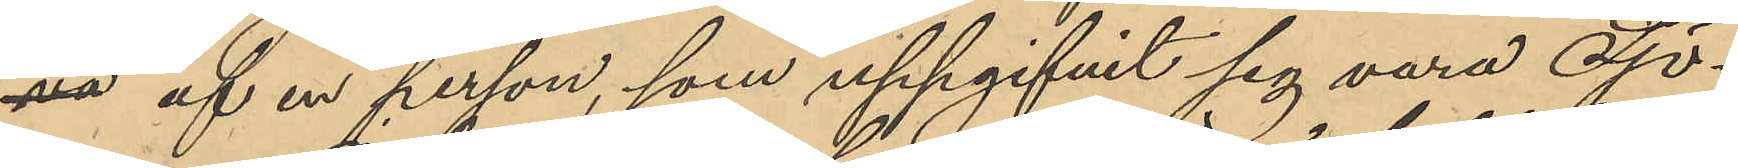va af en person, som uppgifvit sig vara Sjö¬
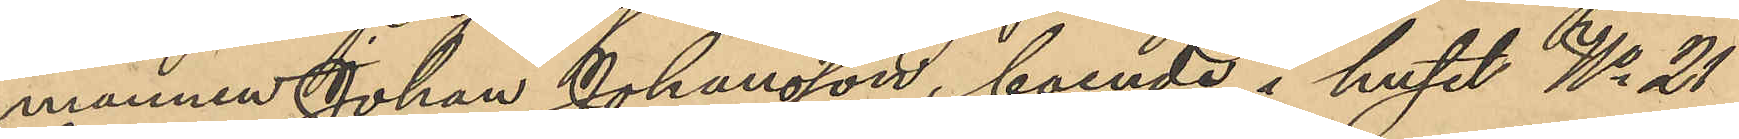mannen Johan Johansson, boende i huset No 21
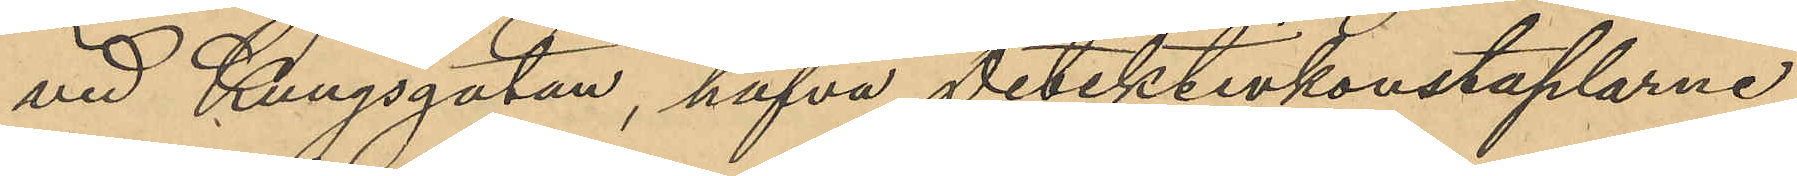vid Kungsgatan, hafva Detektivkonstaplarne
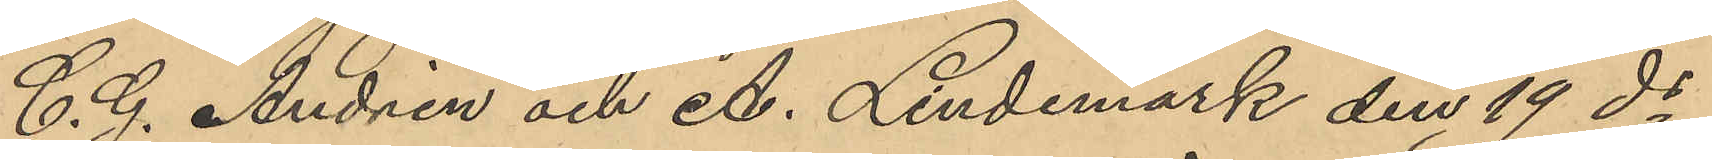C. G. Andrén och A. Lindemark den 19 ds
